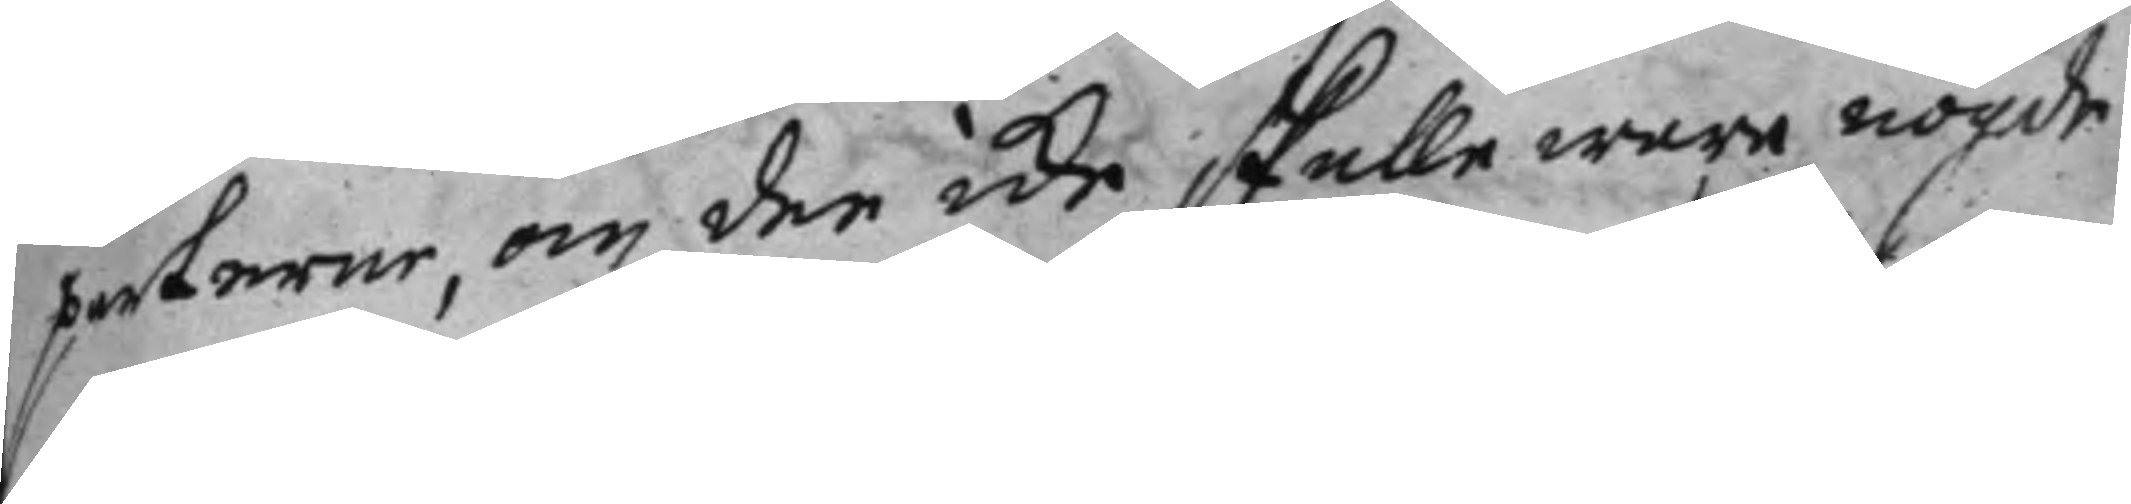parterne, om den icke skulle ware nögde
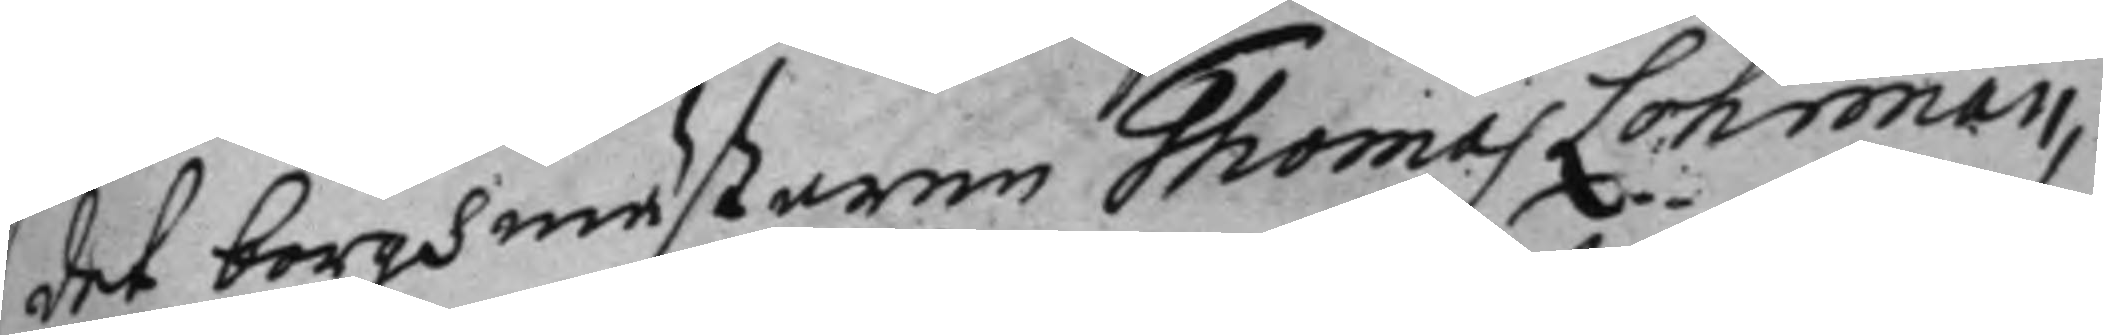det borghmästaren Thomas Lohman,
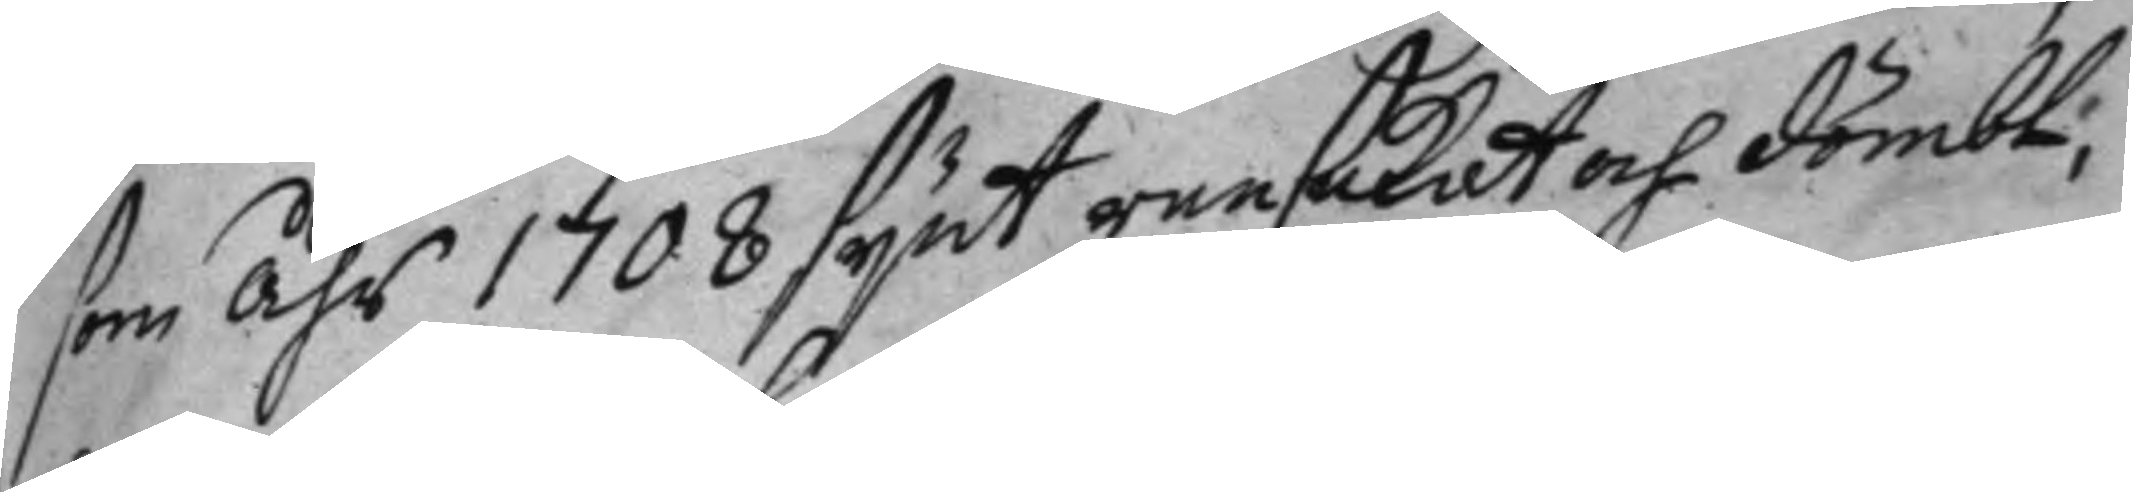som åhr 1708 synt ransakat och dömbt;
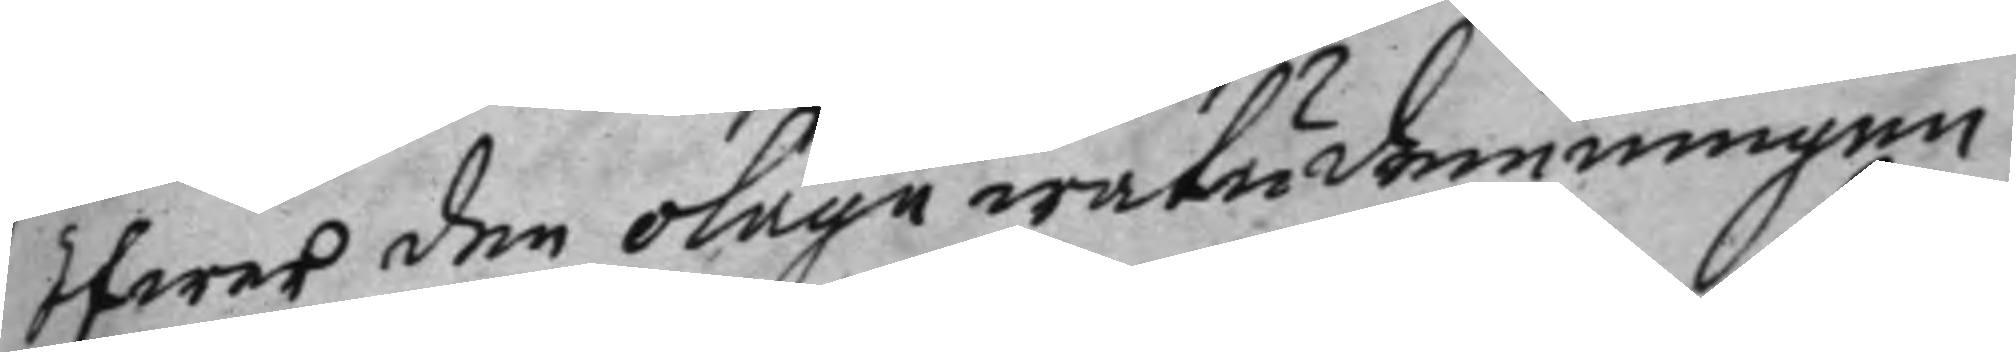öfwer den olaga watudemningen
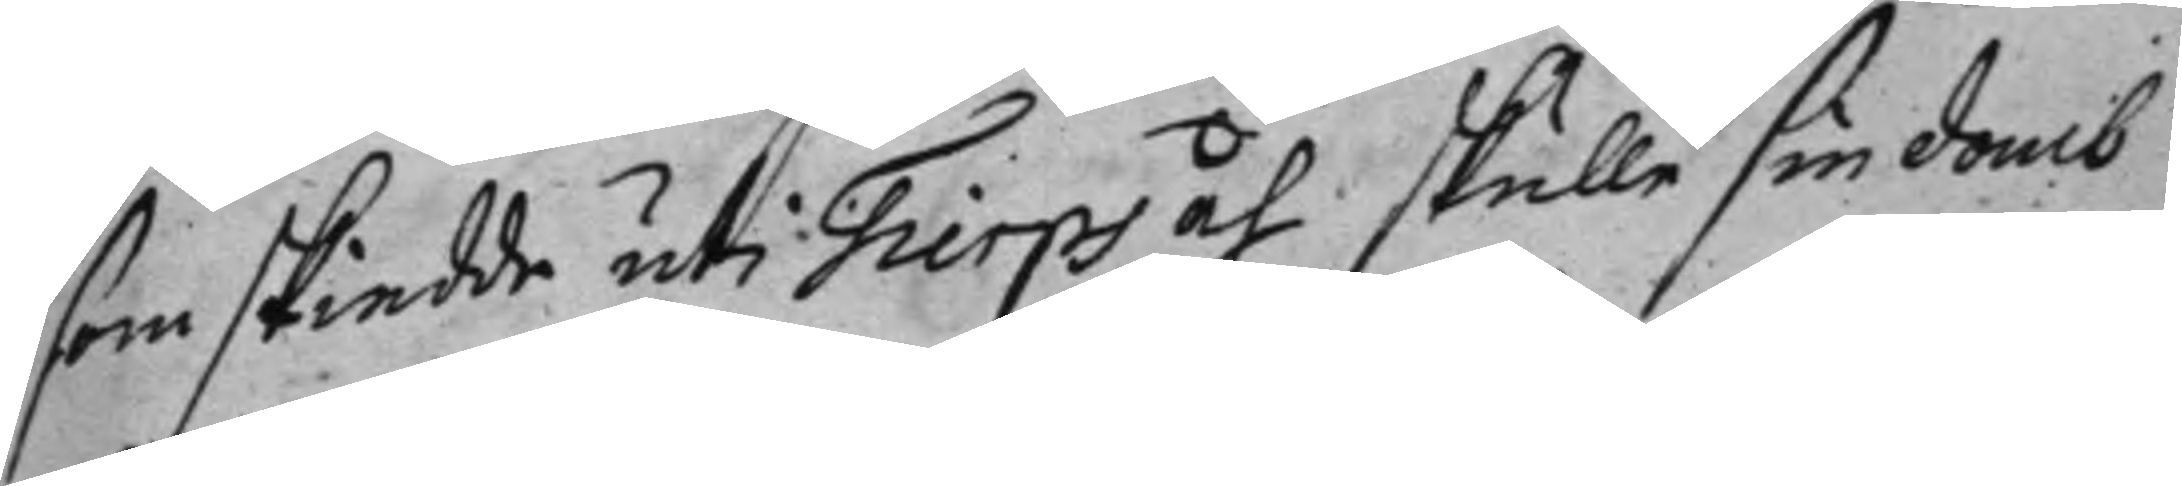som skiedde uti Tierps åh skulle sin domb
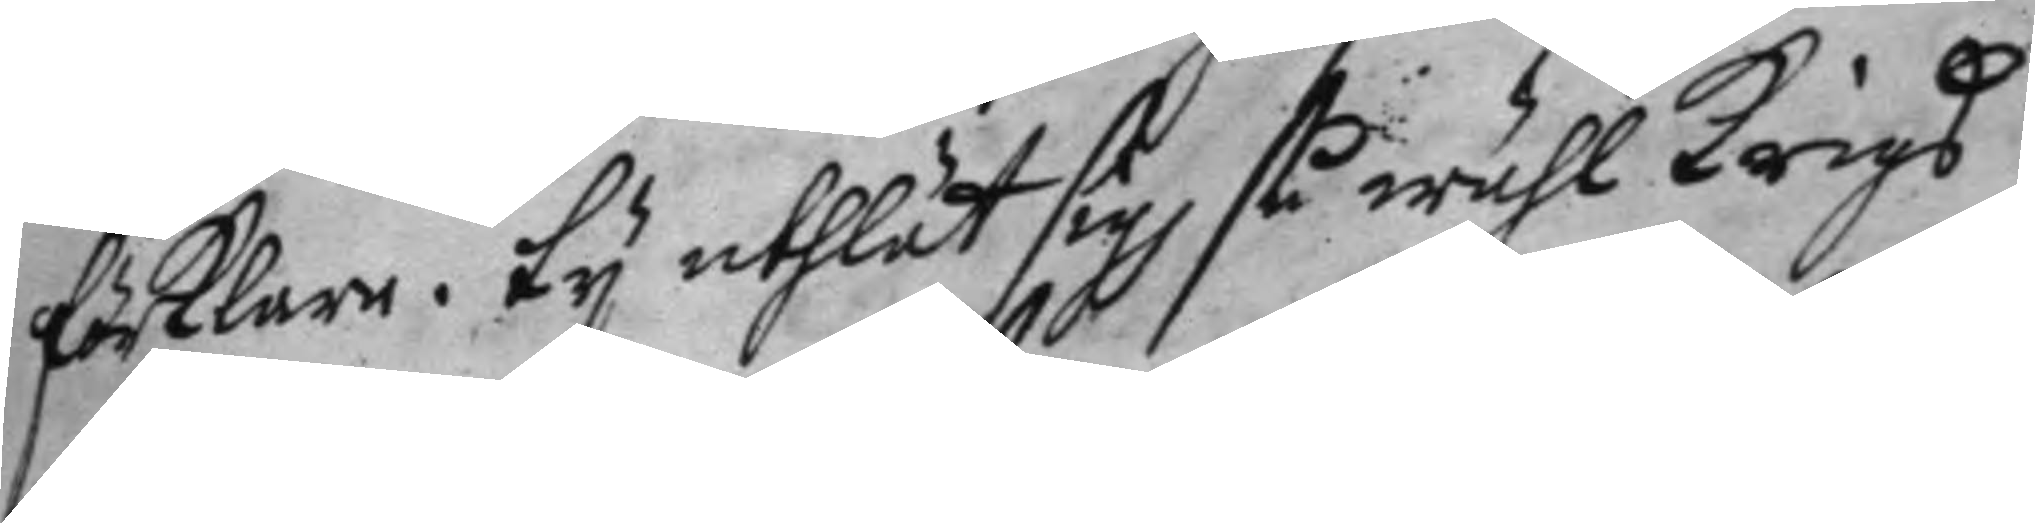förklara. ty utlät sig så wähl Krigs¬
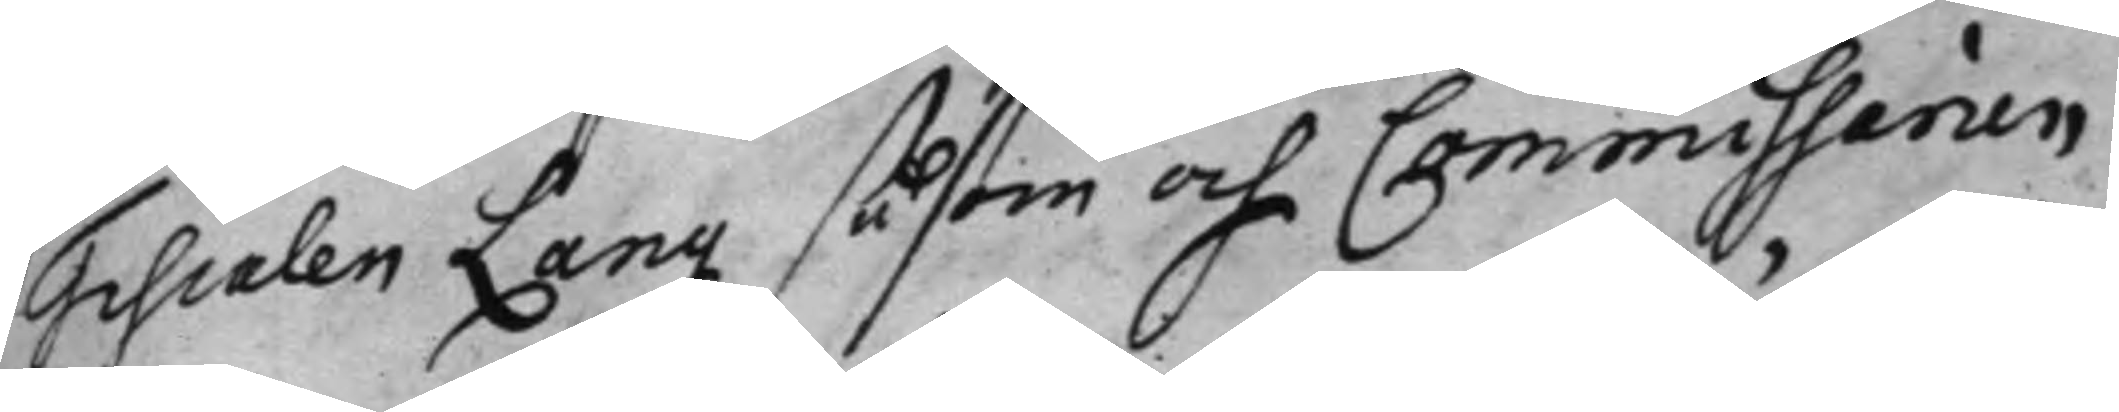Fiscalen Lang såsom och Commissarien
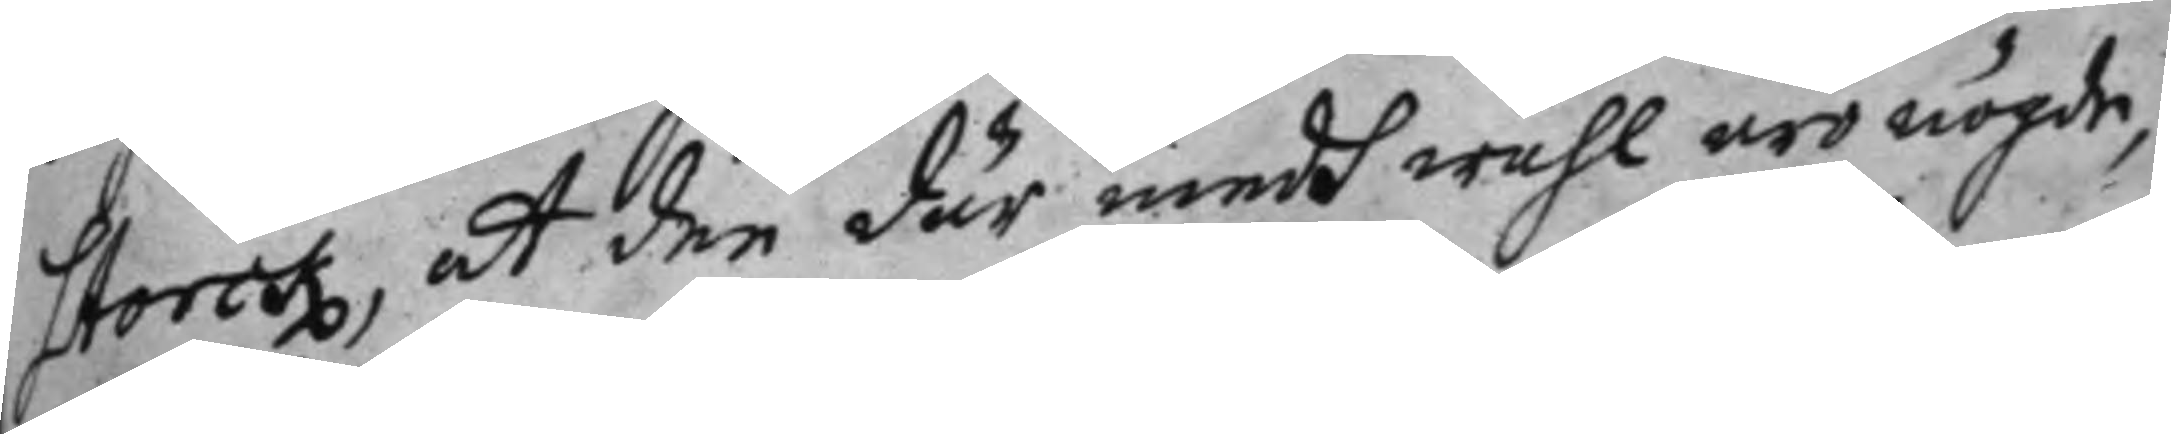Storck, at den där med wähl äro nöjde,
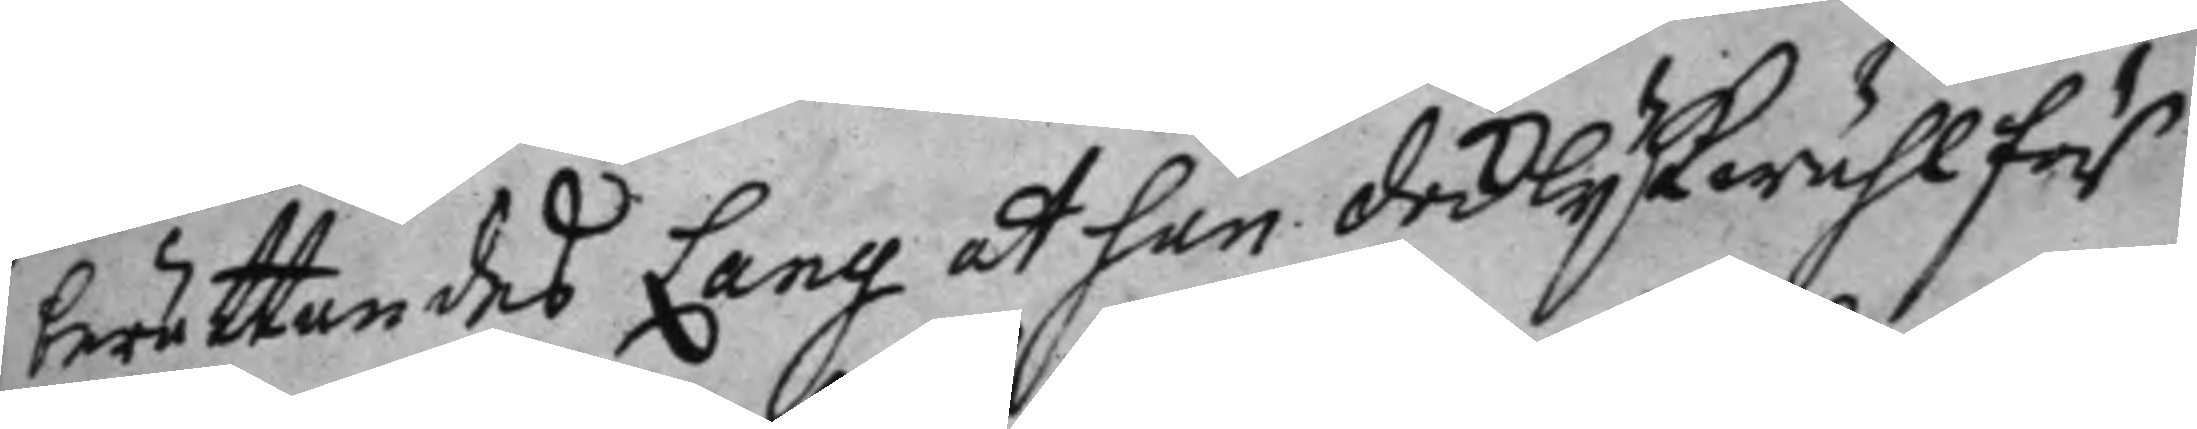berättandes Lang at han dock lijkwähl för
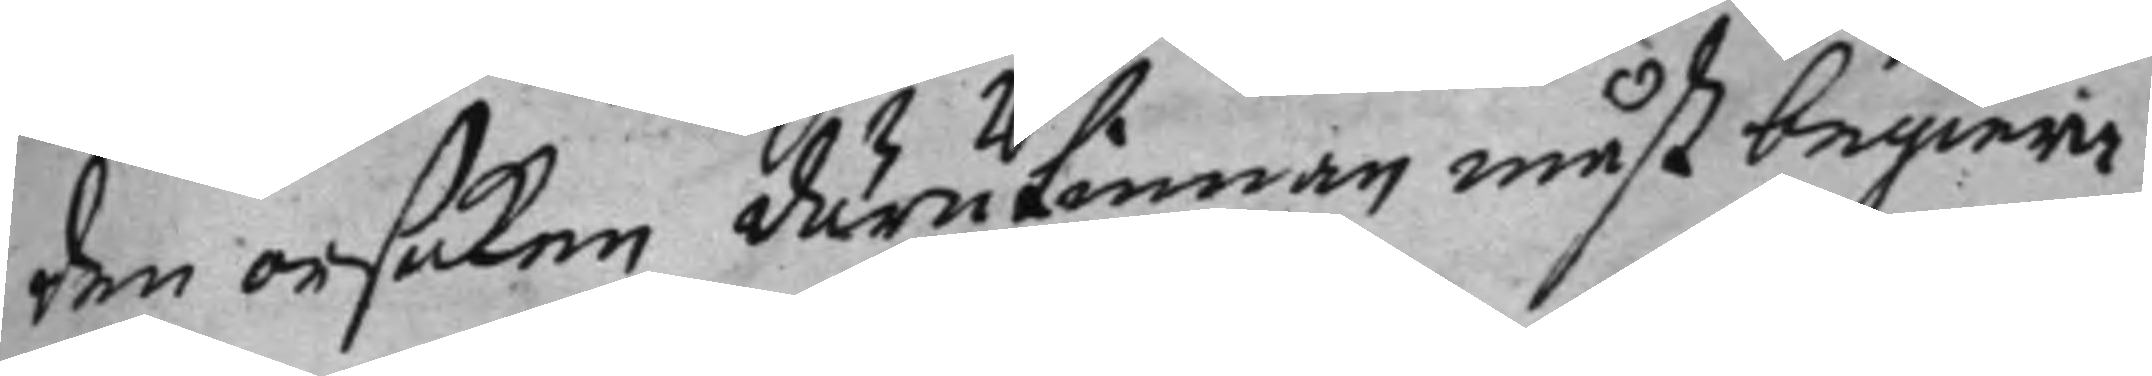den orsaken därutinnan måst begiere
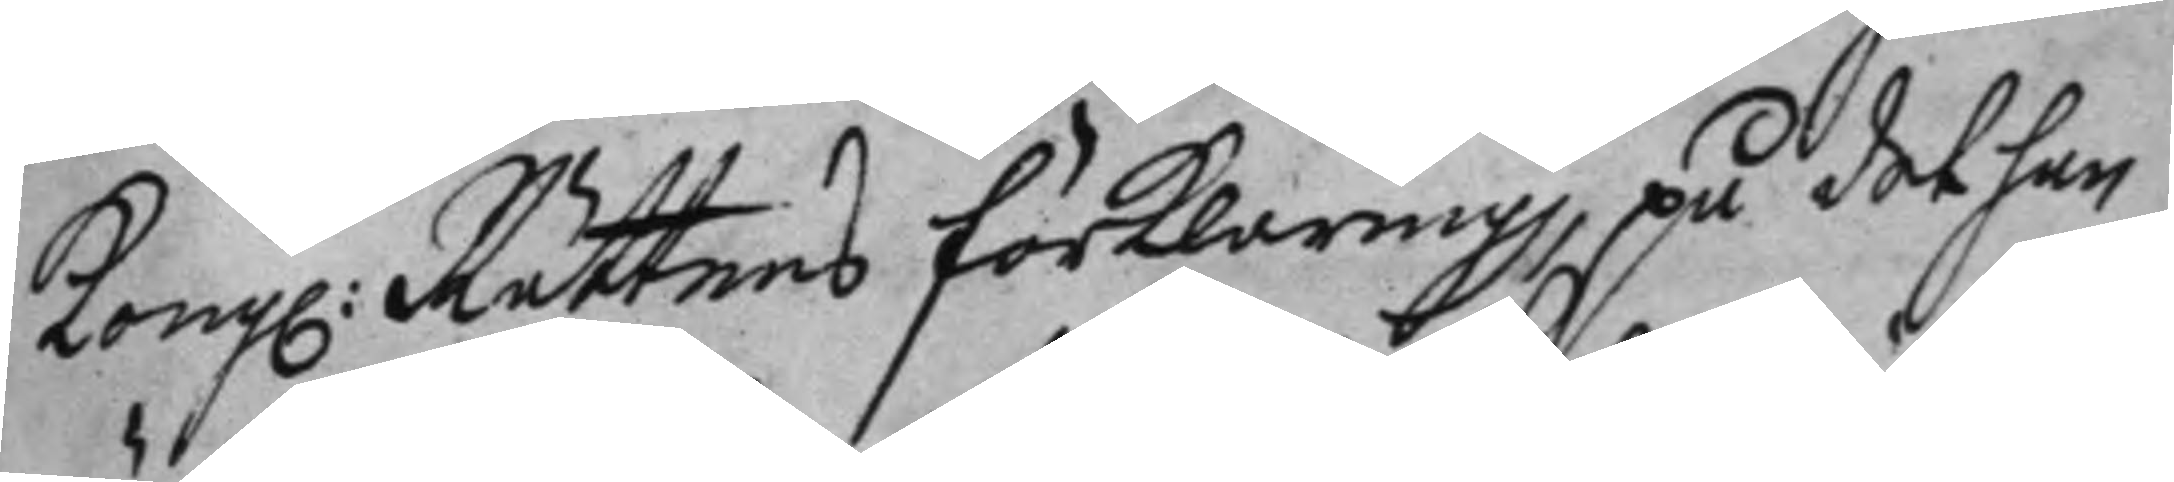Kong: Rättens förklaring, på det han
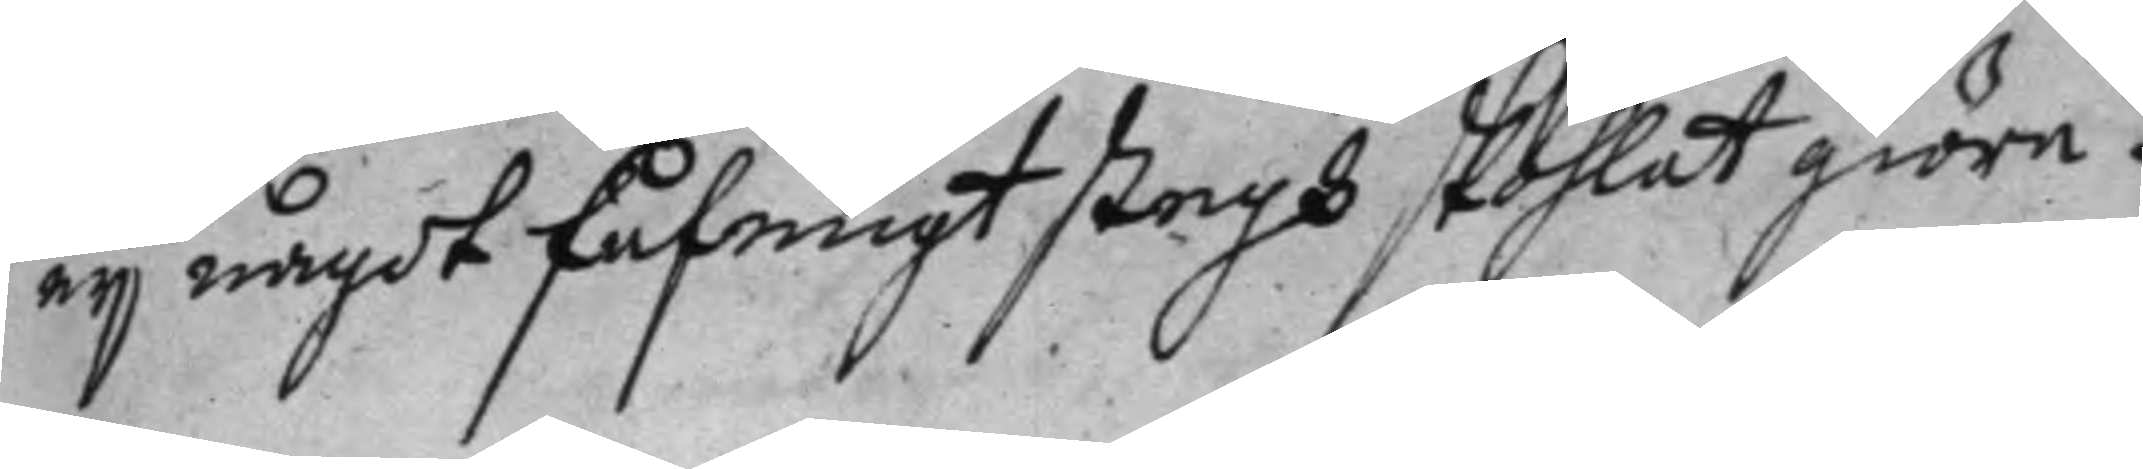ej något fåfengt stegh skohlat giöre.
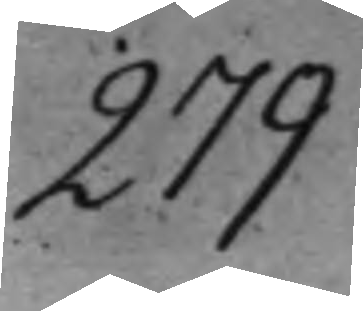279
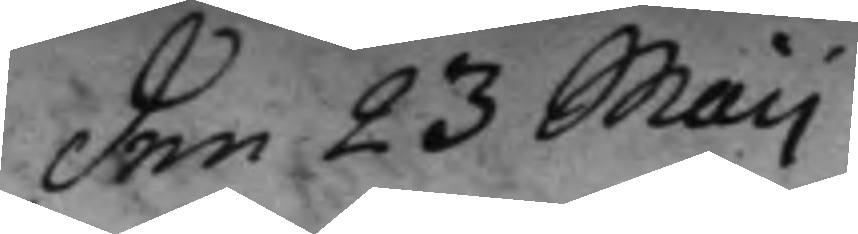den 23 Maij
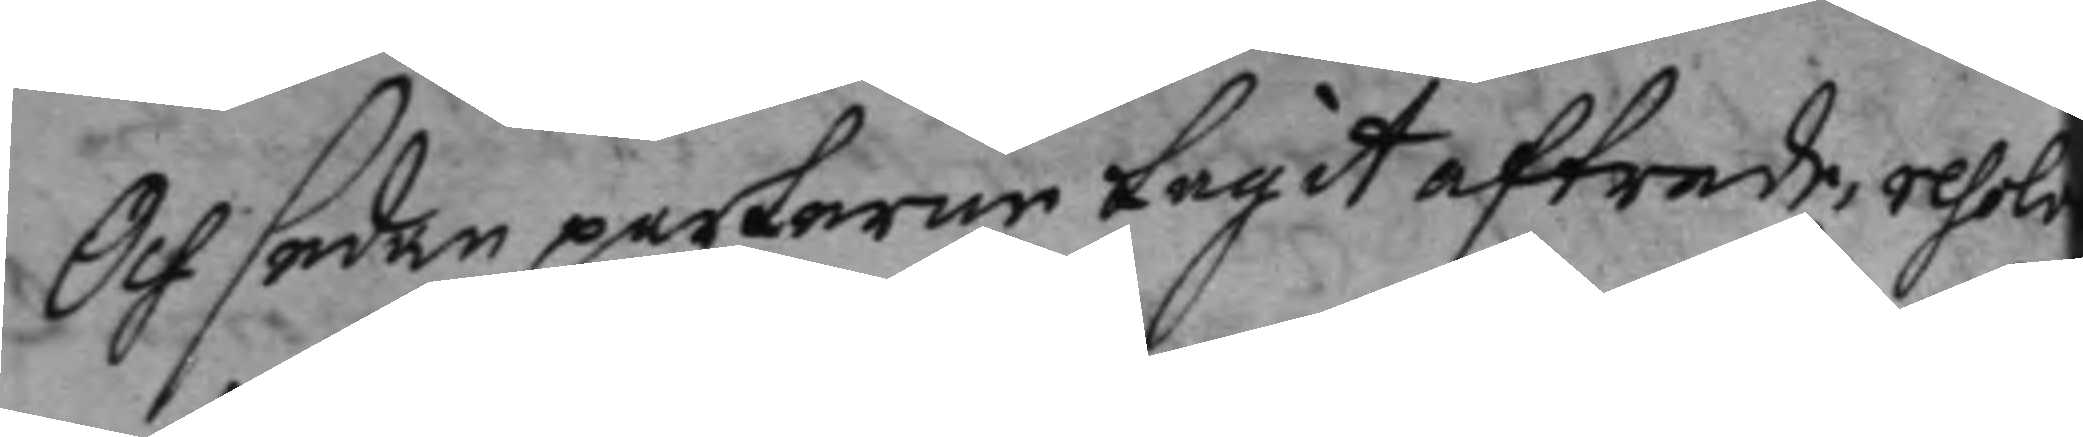Och sedan parterne tagit aftrede, resolv¬
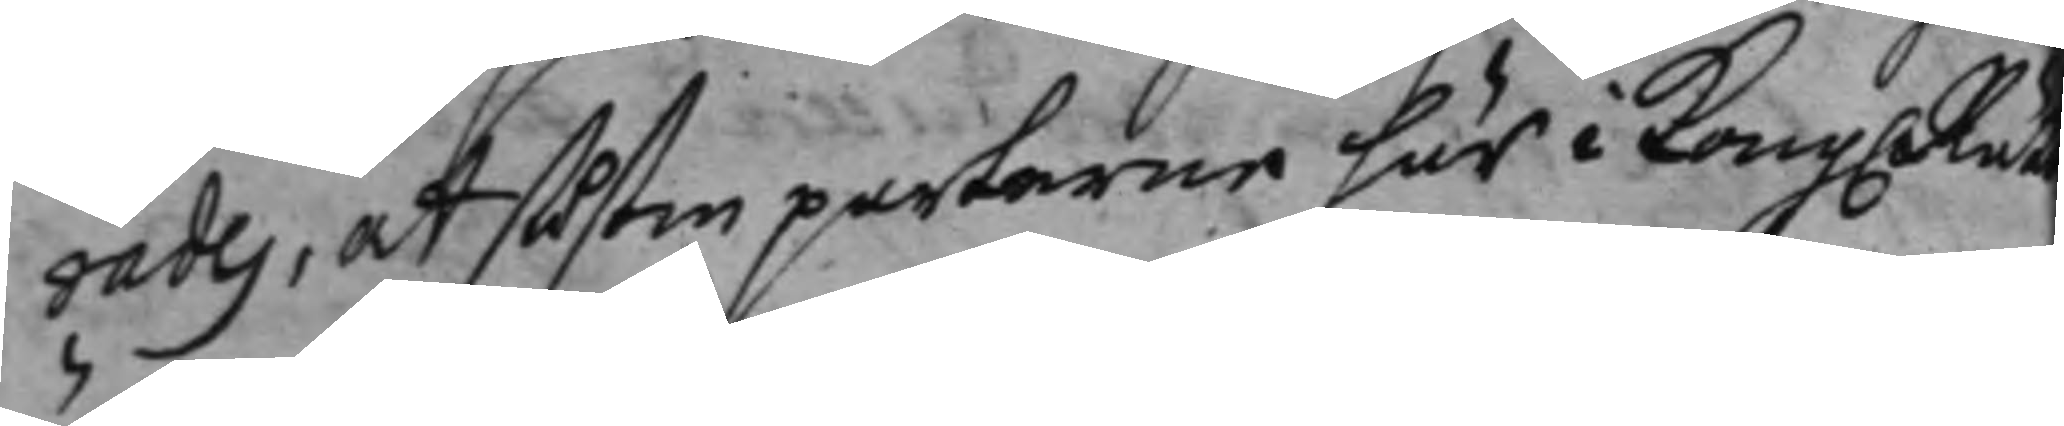rades, at parterne här i Kong: Rätten
